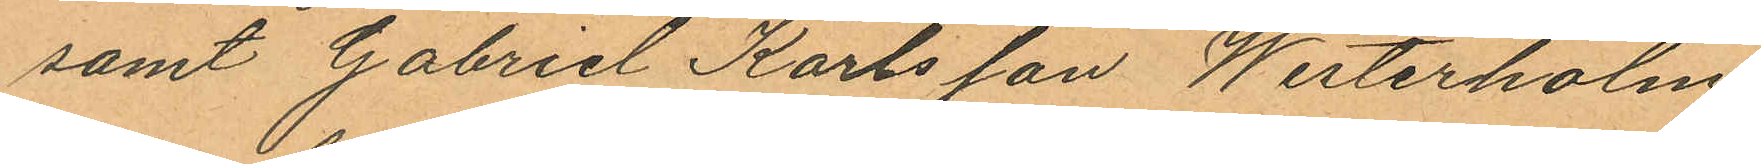samt Gabriel Karlsson Westerholm
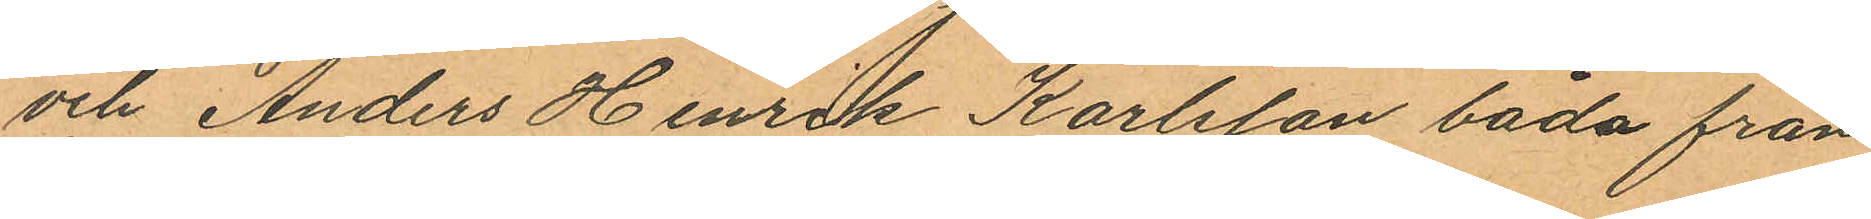och Anders Henrik Karlsson båda från
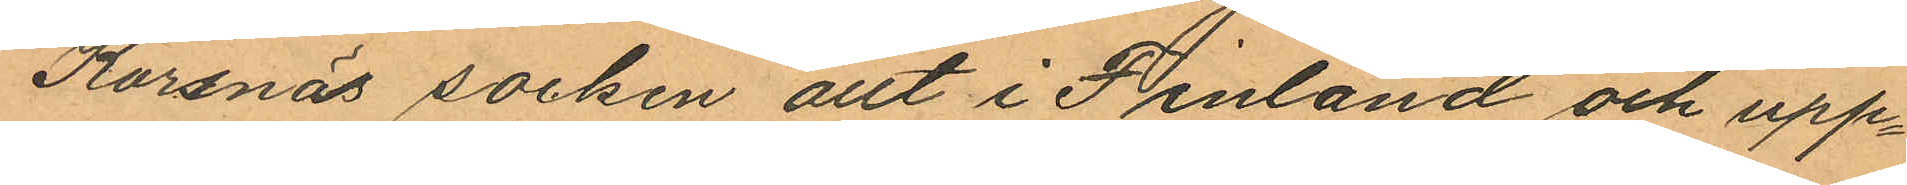Korsnäs socken allt i Finland och upp¬
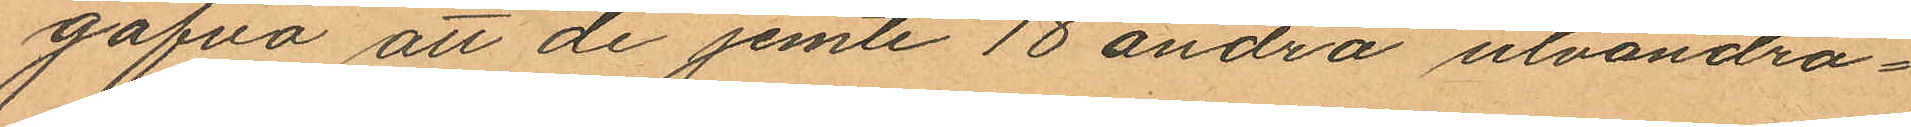gåfva att de jemte 18 andra utvandra¬
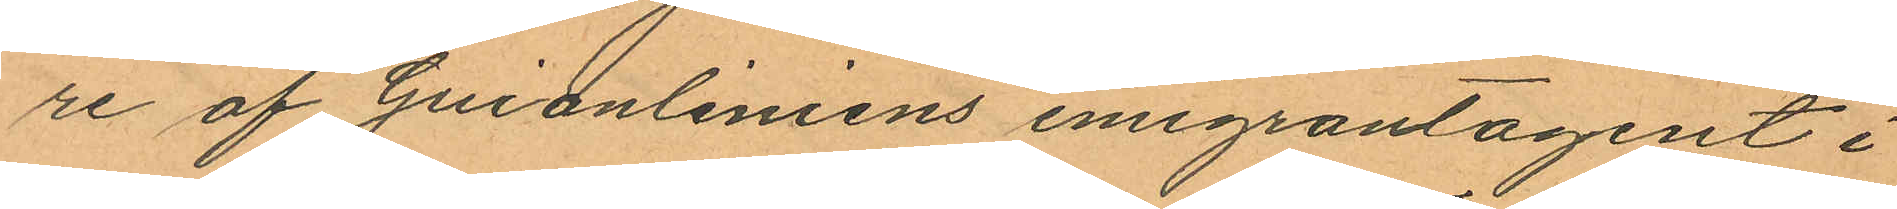re af Guionliniens emigrantagent i
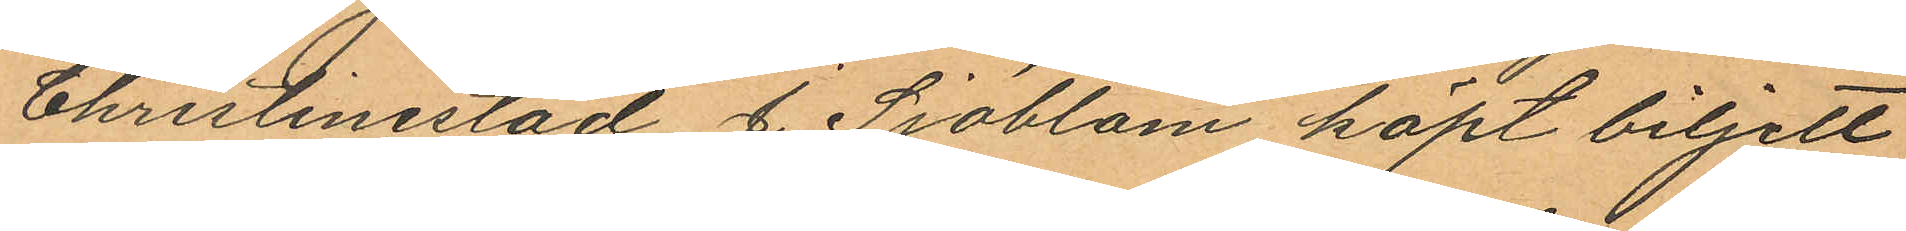Christinestad J. Sjöblom köpt biljett
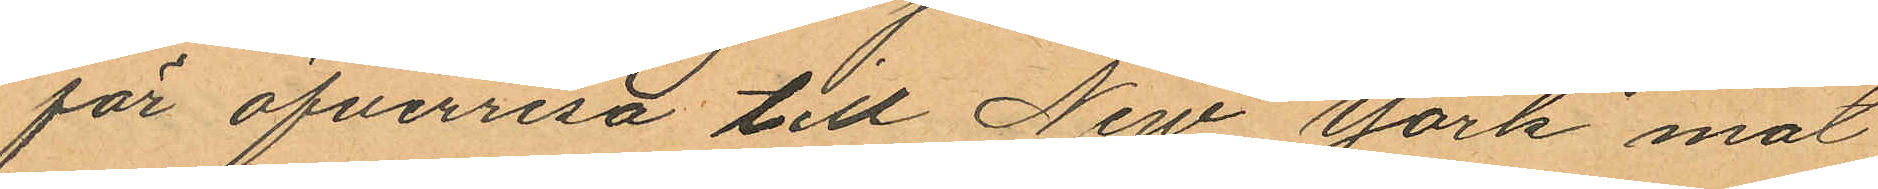för öfverresa till New York mot
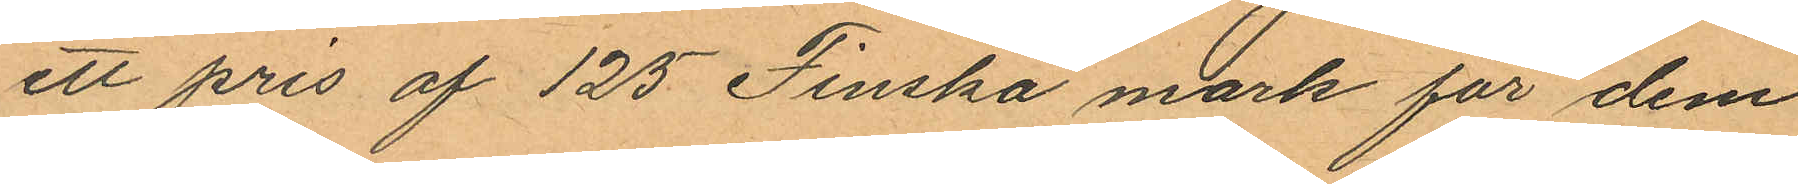ett pris af 125 Finska mark för dem
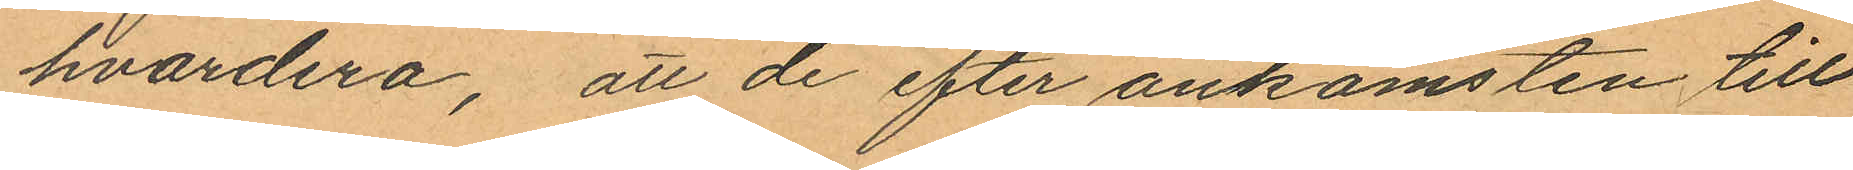hvardera, att de efter ankomsten till
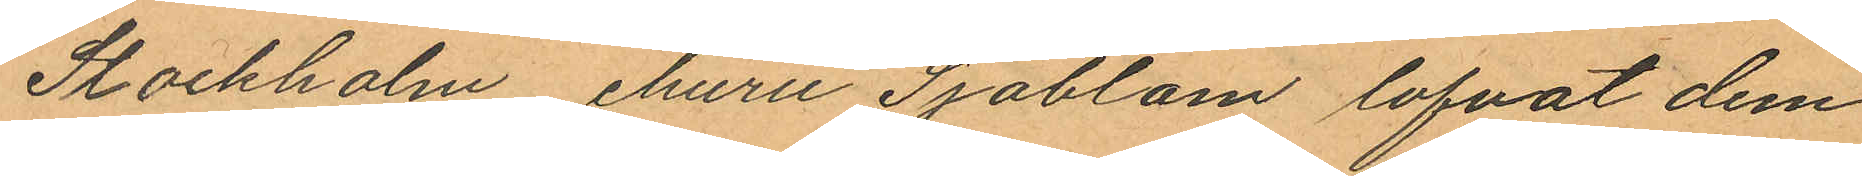Stockholm ehuru Sjöblom lofvat dem
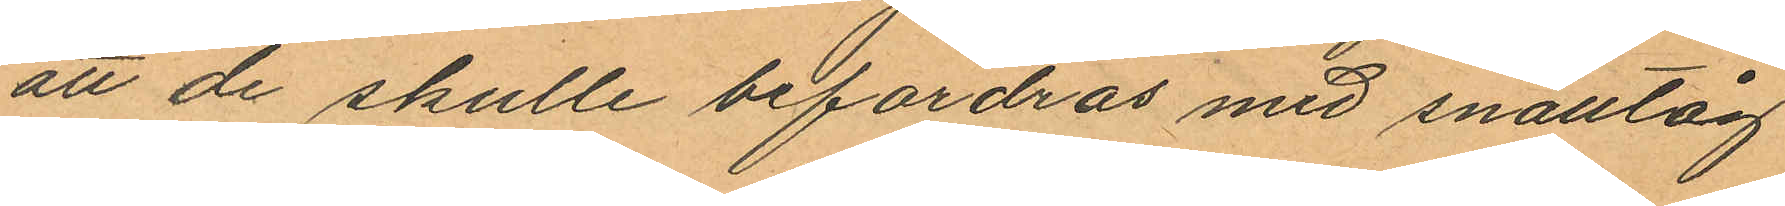att de skulle befordras med snälltåg
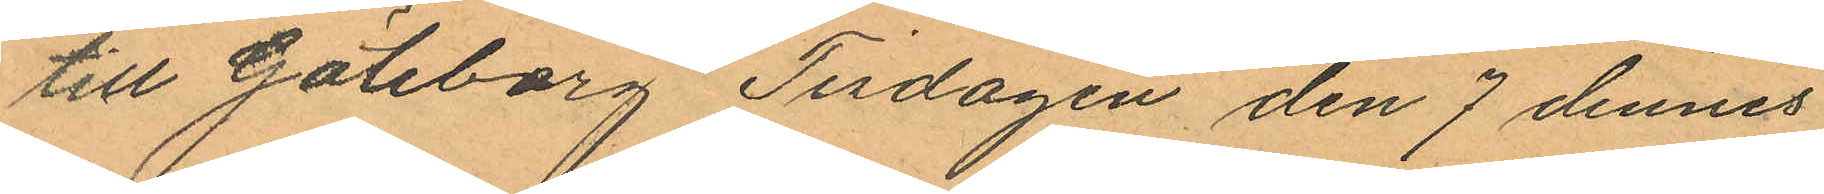till Göteborg Tisdagen den 7 dennes
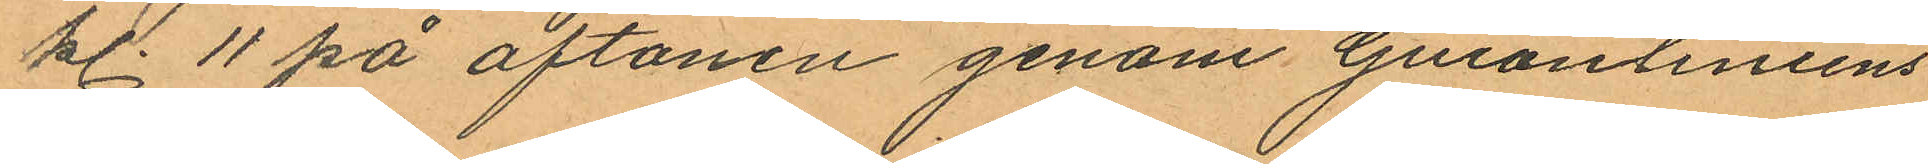kl. 11 på aftonen genom Guionliniens
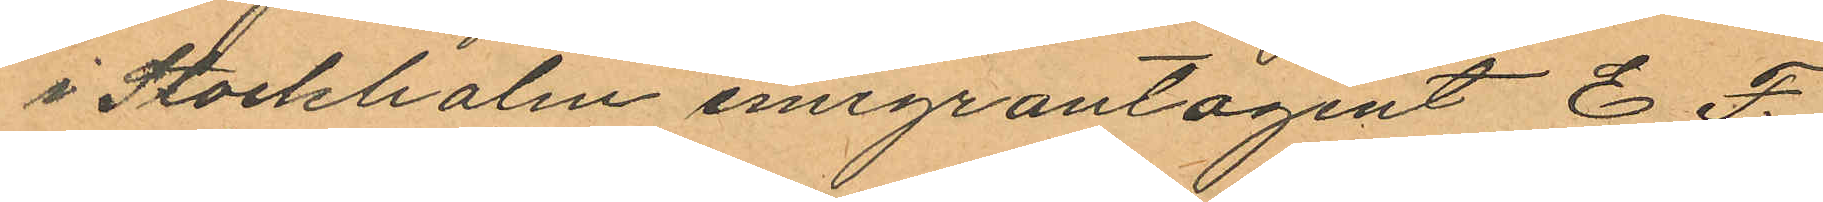i Stockholm emigrantagent E F.
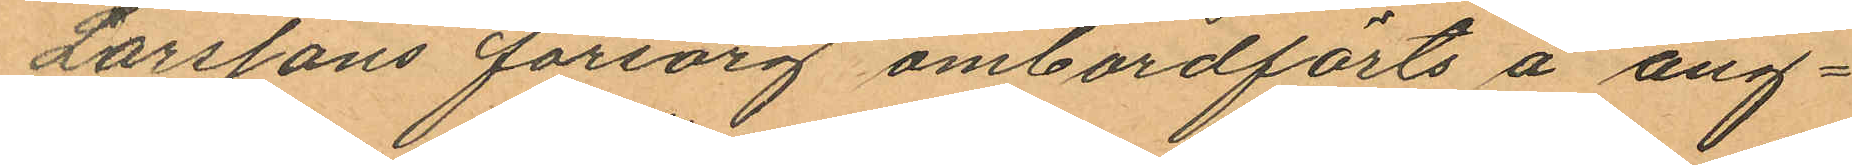Larssons försorg ombordförts å ång¬
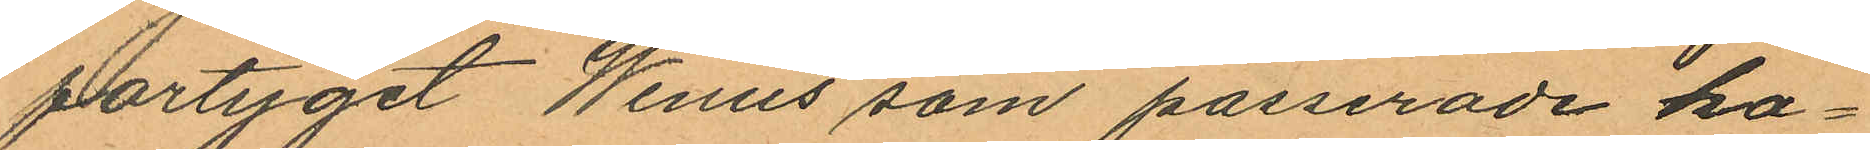fartyget Wenus som passerade ka¬
